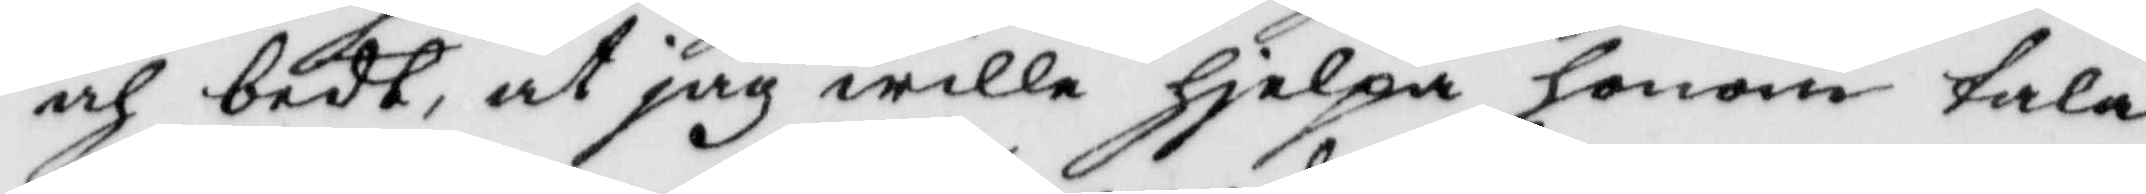och bedt, at jag wille hjelpa honom tala
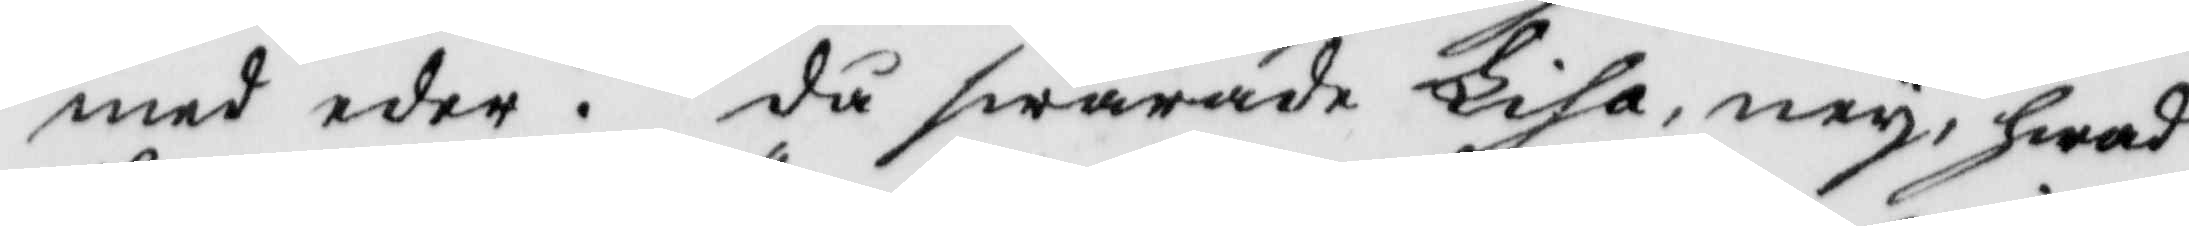med eder. då swarade Lisa, ney, hwad
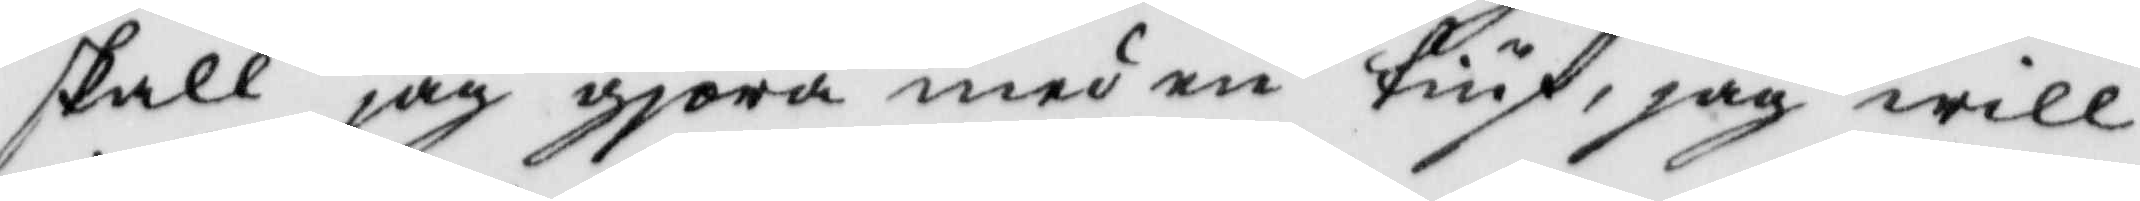skall jag giöra med en tiuf, jag will
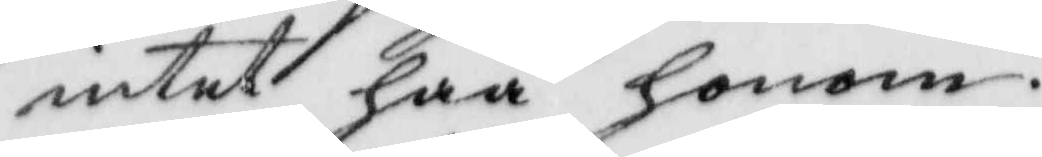intet haa honom.
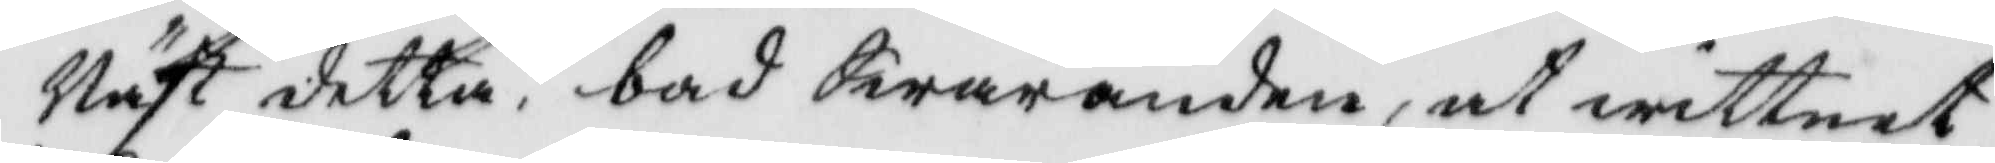Näst detta, bad Swaranden, at wittnet
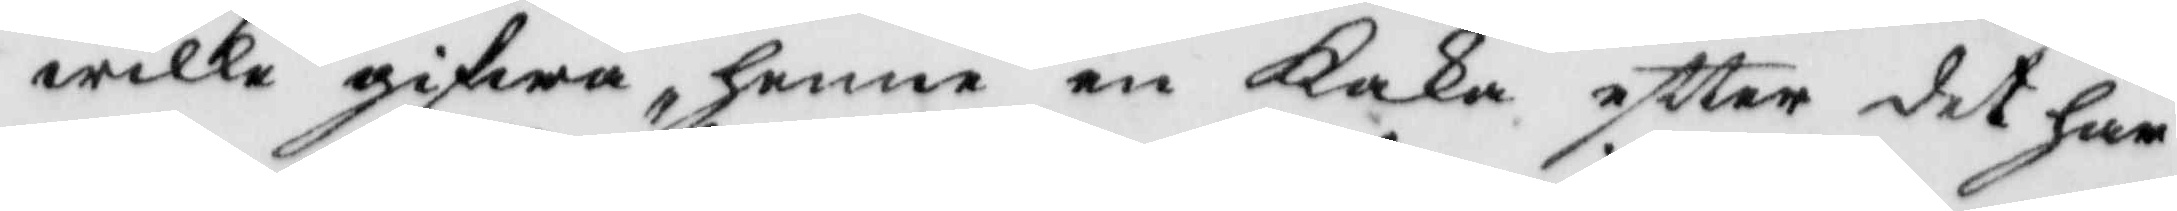wille gifwa henne en kaka eftter det har
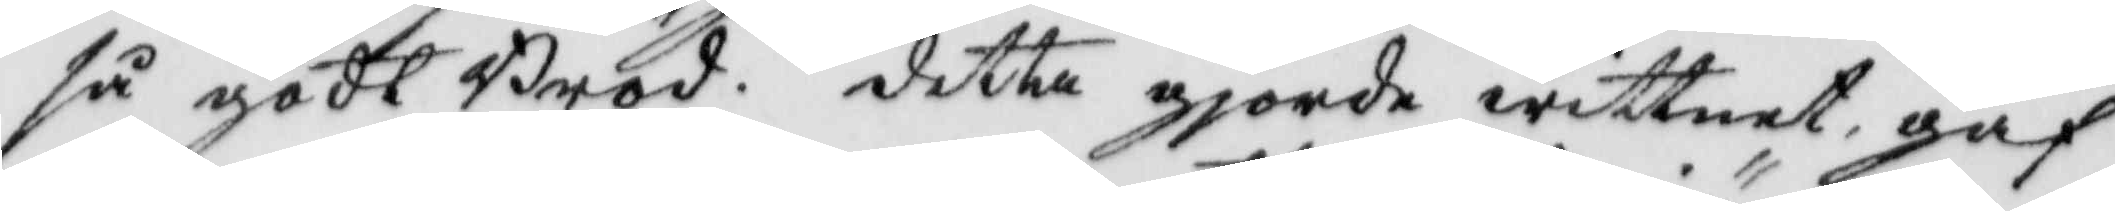så godt Bröd. detta gjorde wittnet, gaf
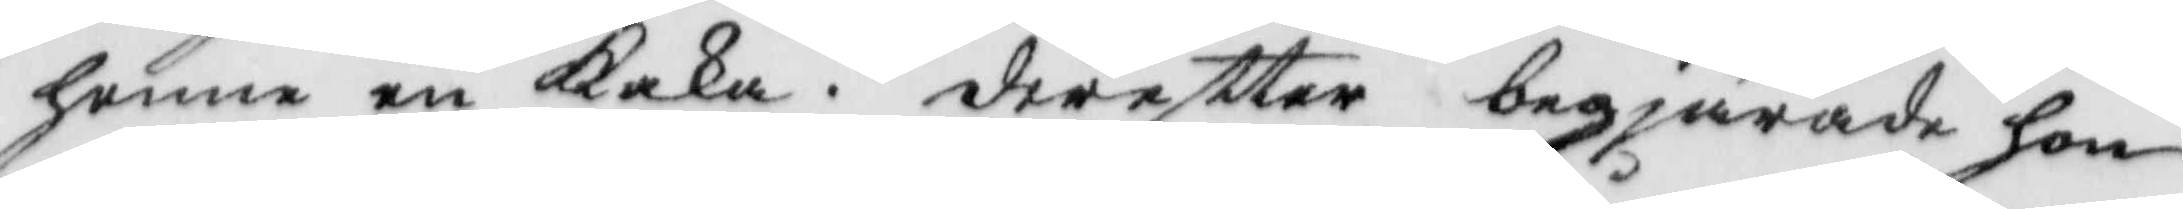henne en kaka. dereftter begiörade hon
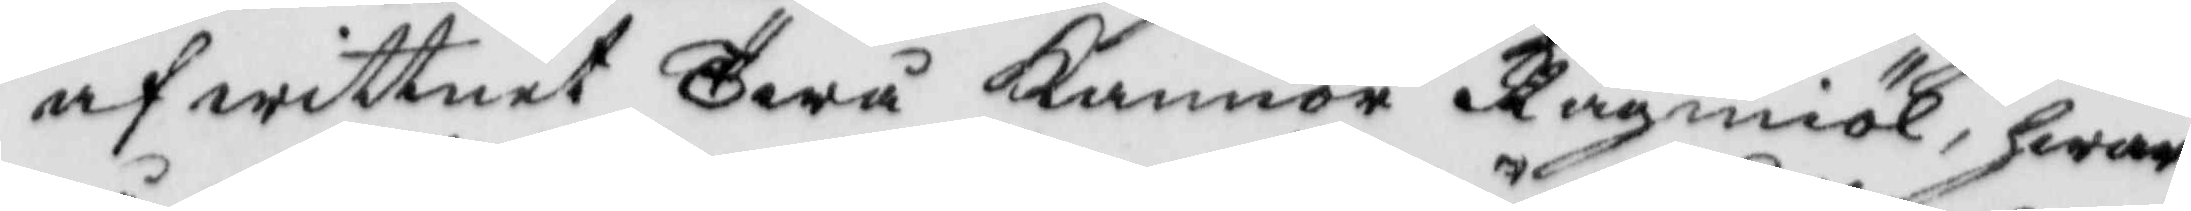af wittnet Twå kannor Rågmiöl, hwar¬
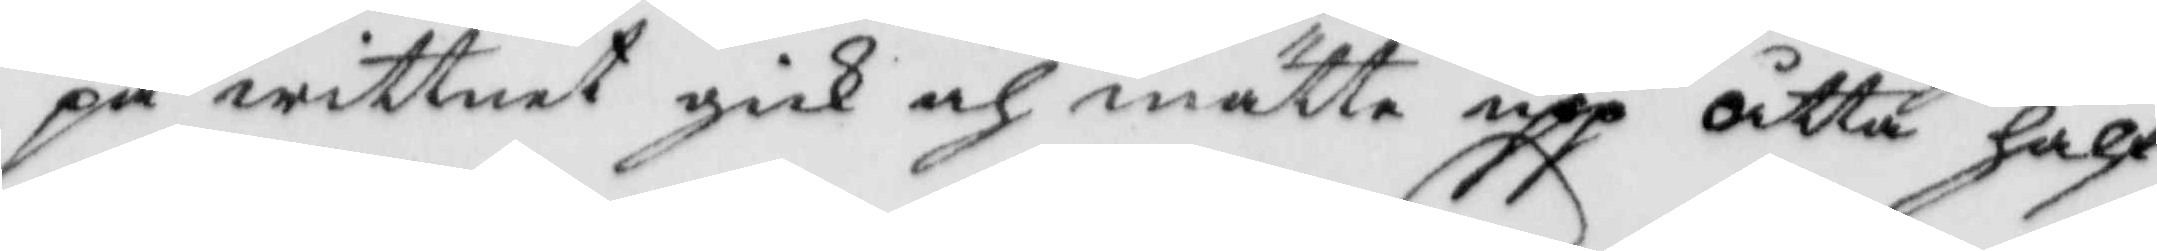på wittnet gick och mätte upp åtta half¬
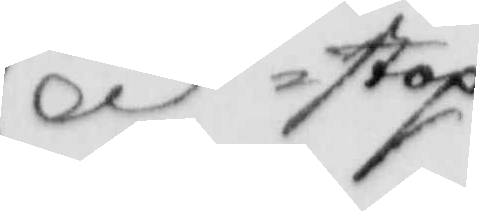stop
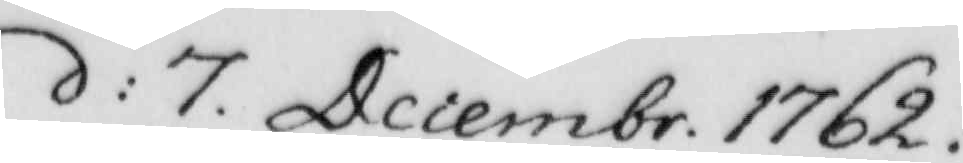d: 7 Decembr. 1762
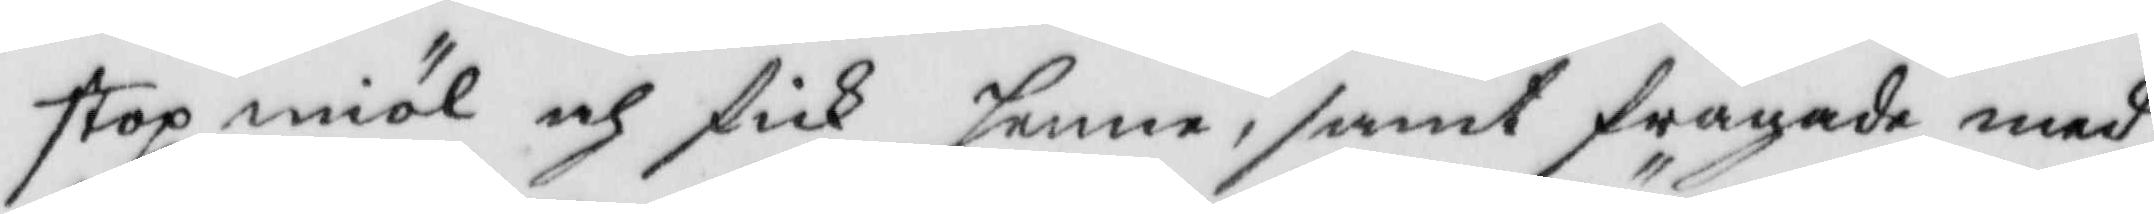stop miöl och fick henne, samt frågade med
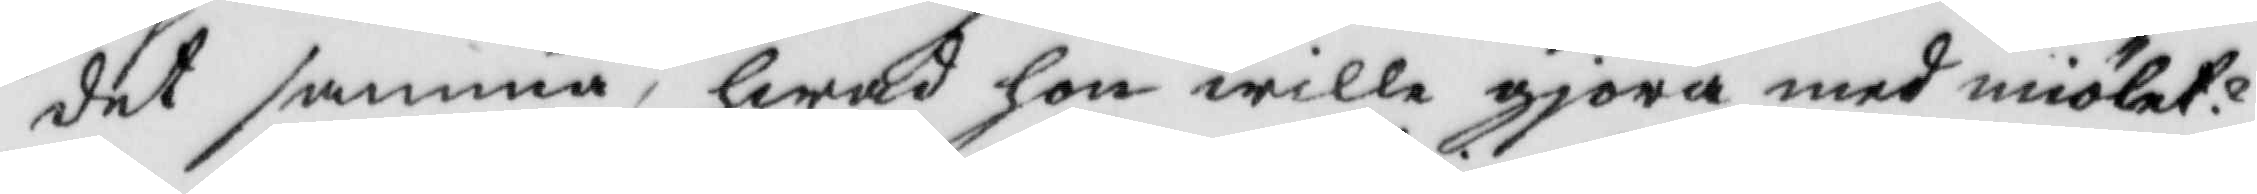det samma, hwad hon wille gjöra med miölet?
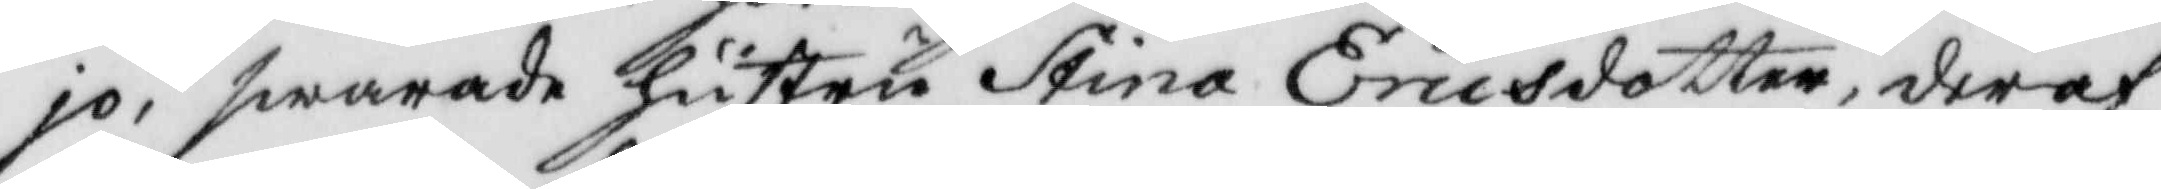jo, swarade hustru Stina Ericsdotter, deraf
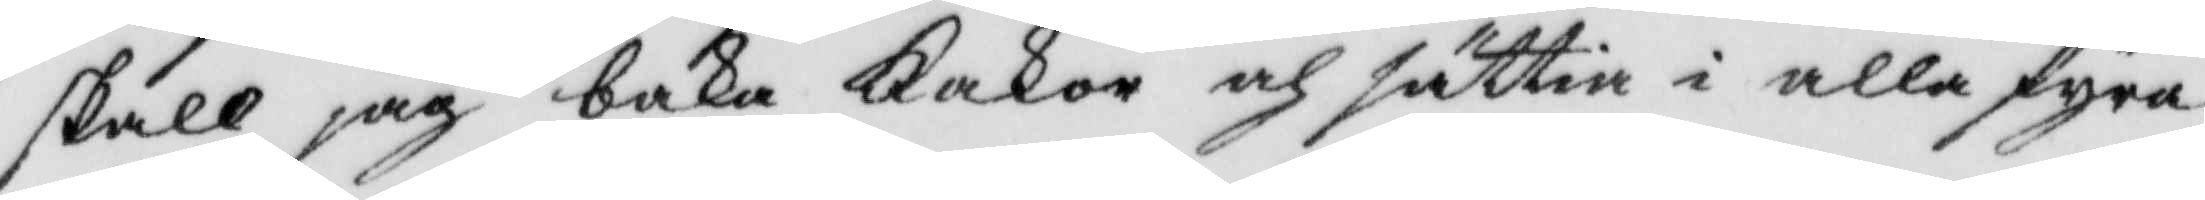skall jag baka kakor och sätta i alla fyra
